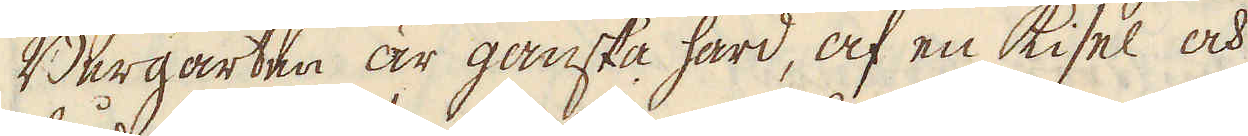Bergarten är ganska hård, af en kisel och
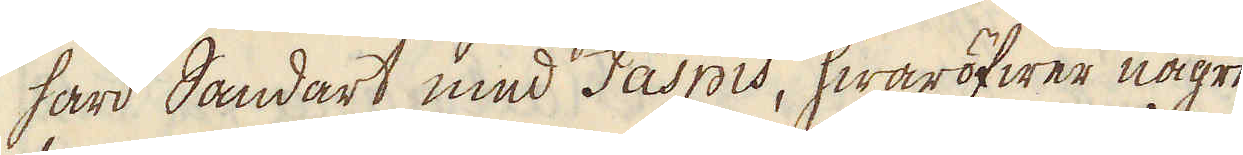hård Sandart mud Jaspis, hwaröfwer någre
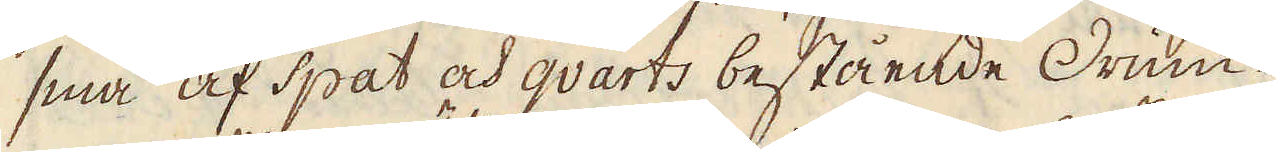små af spat och qvarts bestående Drum-
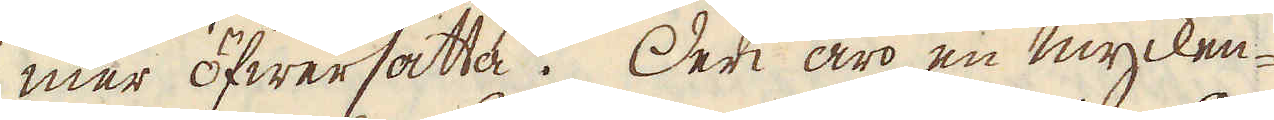mer öfwersätta. Deri äro en mycken-
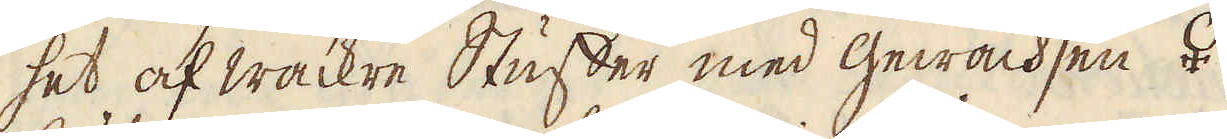het af wackre Stuffer med gewachsen ♀
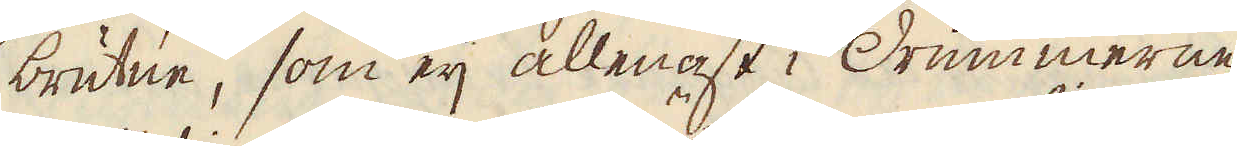brutne, som eij allenast i Drummerne
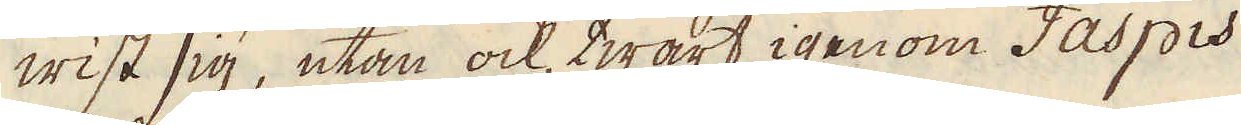wist sig, utan ock, twärt igenom Jaspis
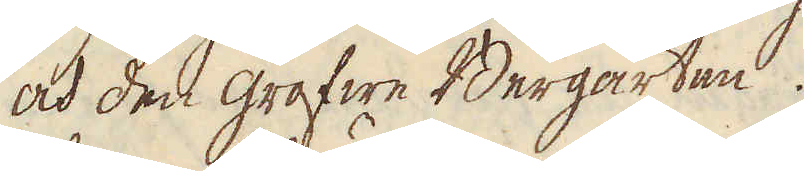och den grofwe Bergarten.
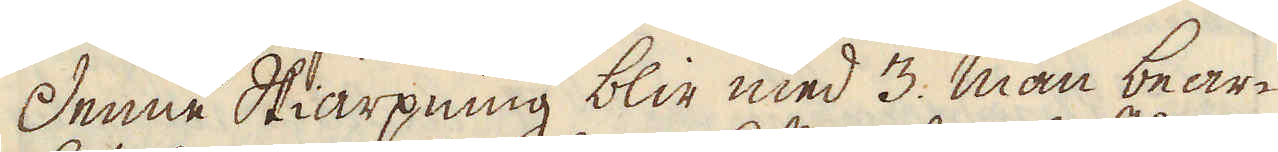Denne Skiärpning blir med 3. man bear-
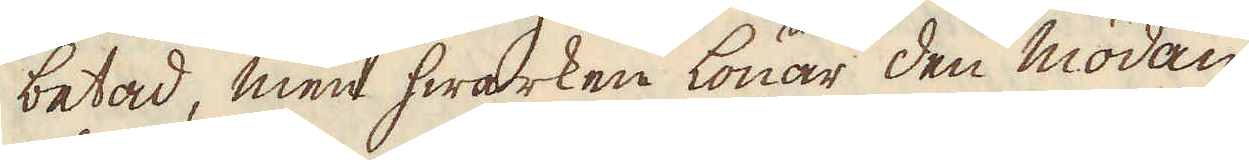betad, men hwarken lönar den mödan
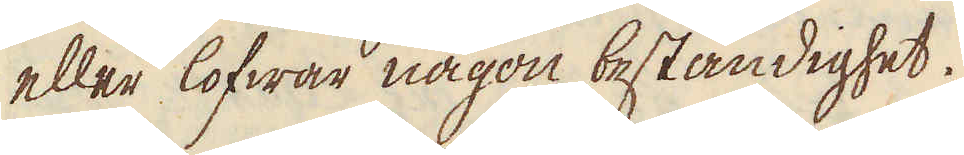eller lofwar någon beständighet.
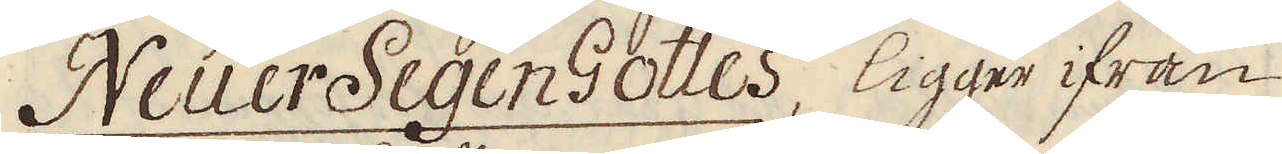Neuer Segen Gottes, ligger ifrån
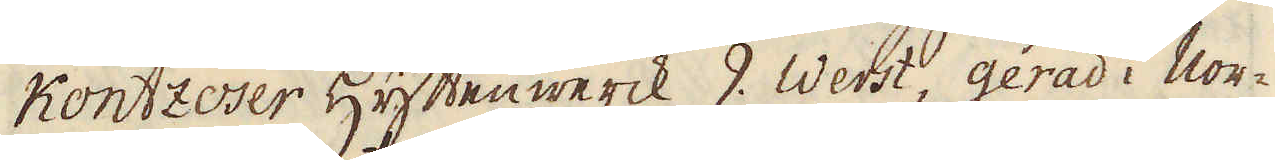Kontzoser Hyttenwerck 9. Werst, gerad i Nor-
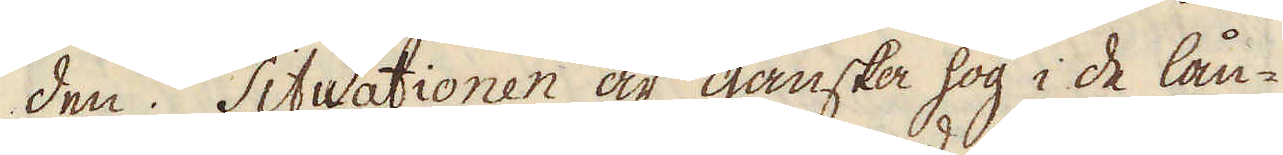den. Situationen är ganska hög i de lån-
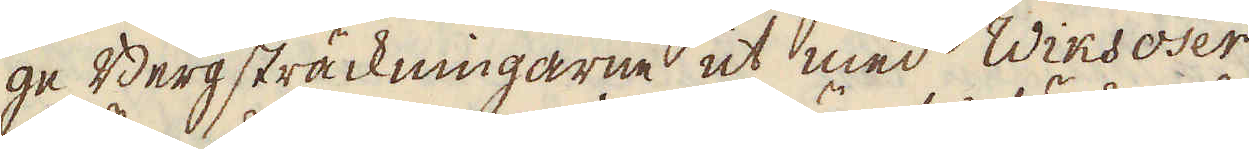ge Berg sträckningarne ut med Wiksoser
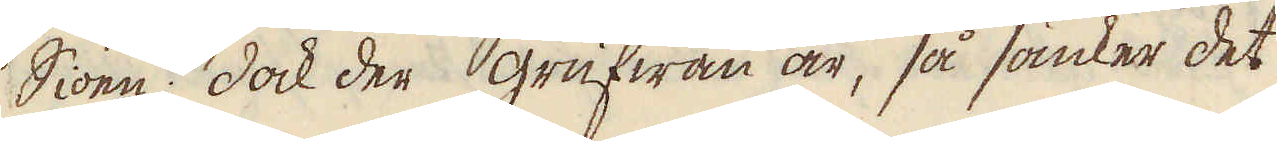Siöen; dock der grufwan är, så sänker det
